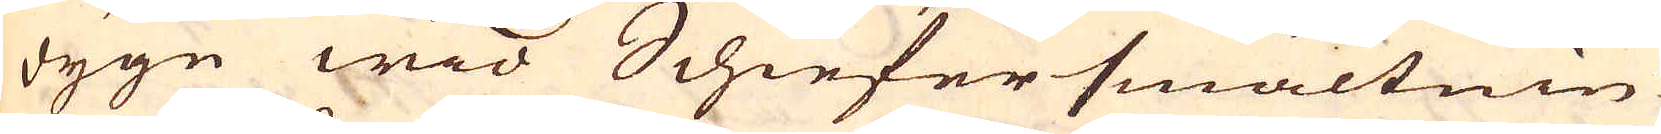dygn wid Schiefersmältnin-
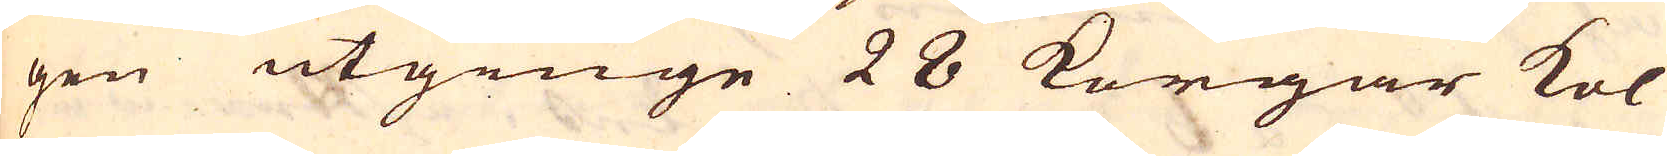gen utginge 28 Korgar kol
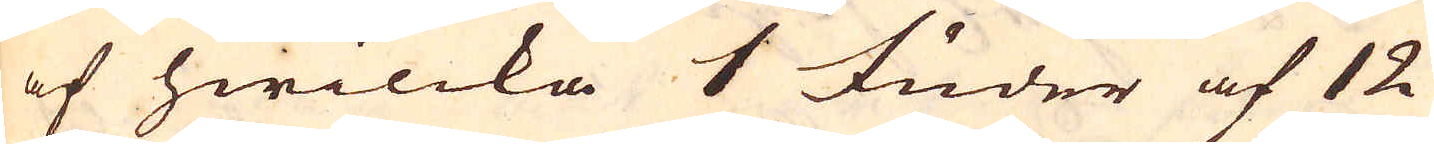af hwilcka 1 Fuder af 12
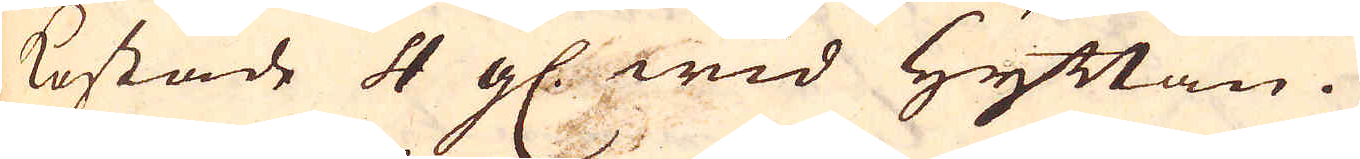kostade 4 gl. wid Hyttan.
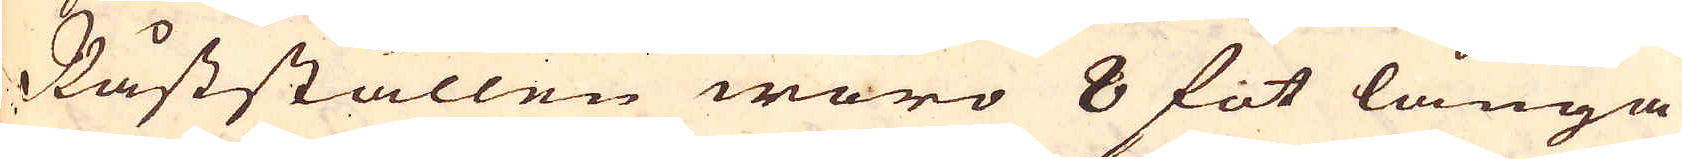Råstställen woro 8 fot långa
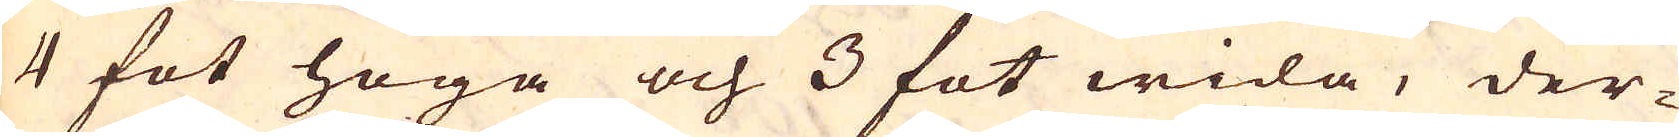4 fot höga och 3 fot wida, der-
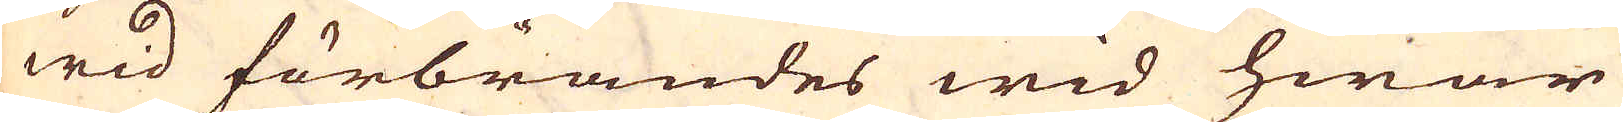wid förbrändes wid hwar
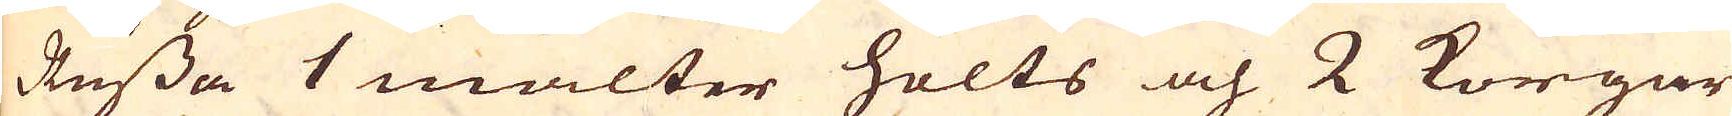Russa 1 malter holts och 2 Korgar
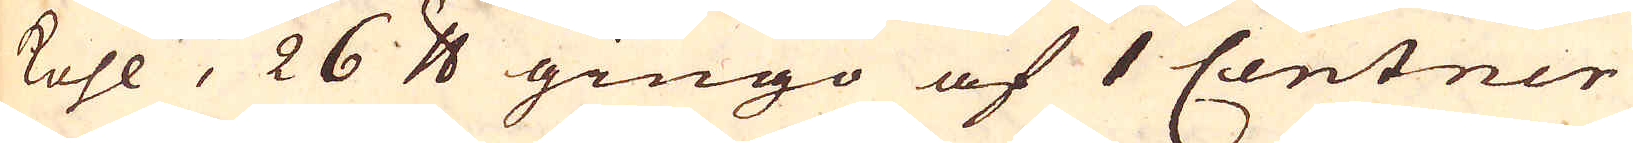kohl, 26 skålpund gingo af 1 Centner
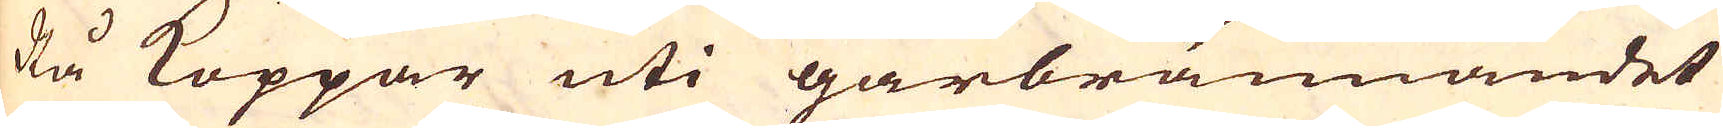Rå Koppar uti gårbrännandet
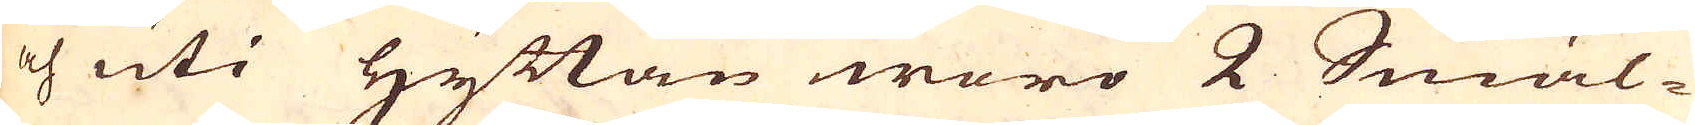och uti Hyttan woro 2 Smäl-
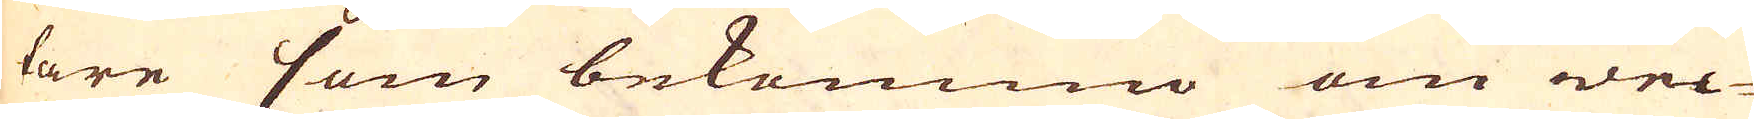tare som bekommo om wec-
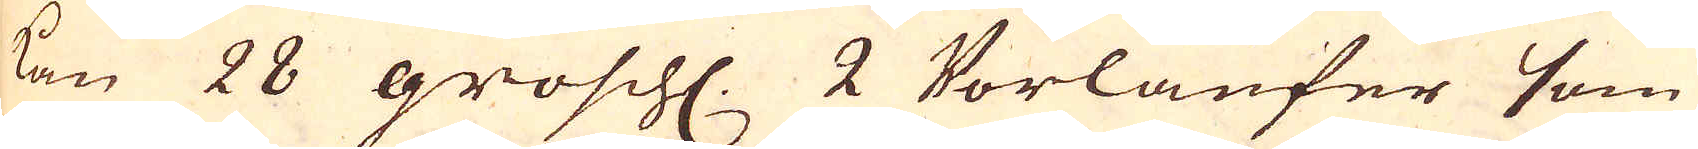kan 28 grosch. 2 Vorläufer som
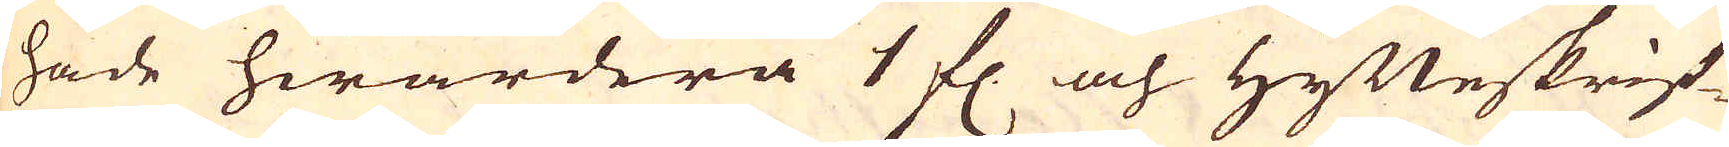hade hwardera 1 fl. och Hytteskrif-
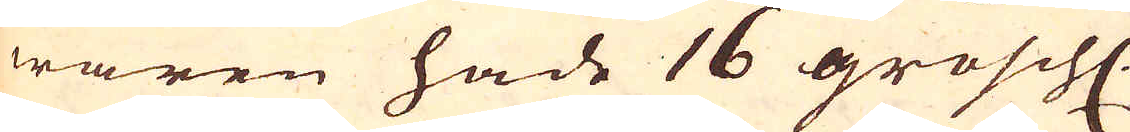waren hade 16 grosch.
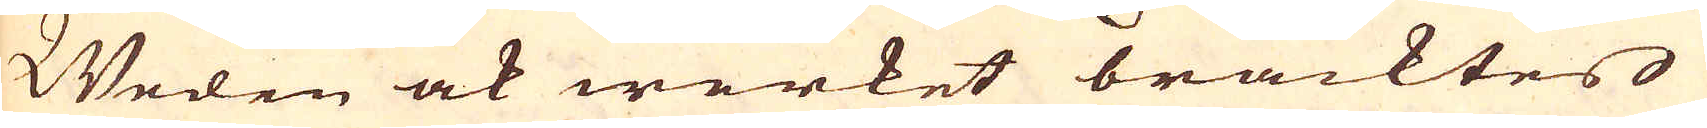Weden ock werket bracktes
